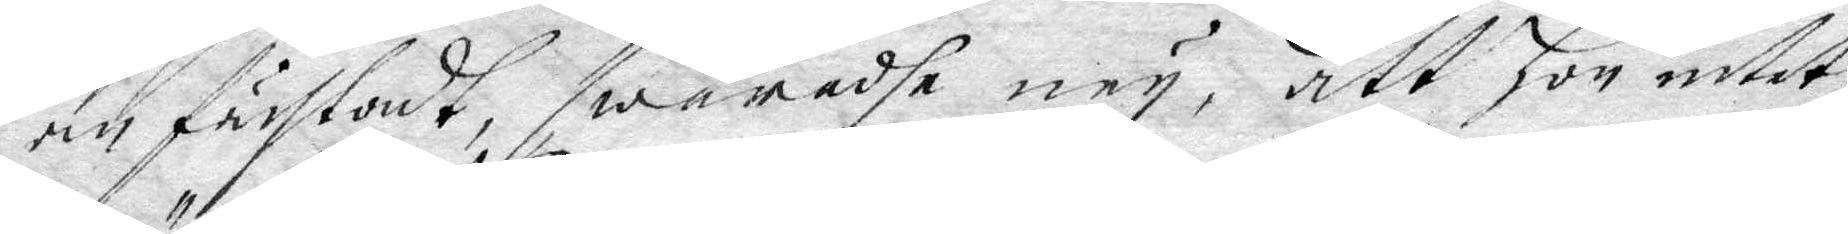anfächtadt, swarade ney, att hon intet
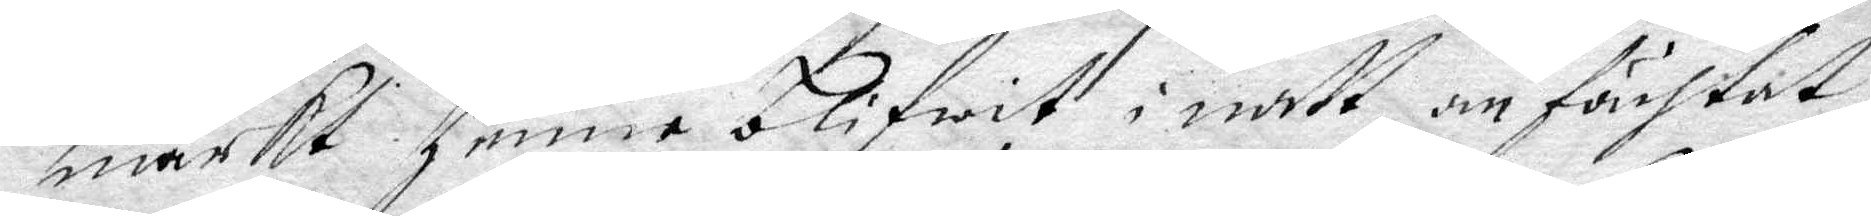märkt henne blifwit i natt anfächtat
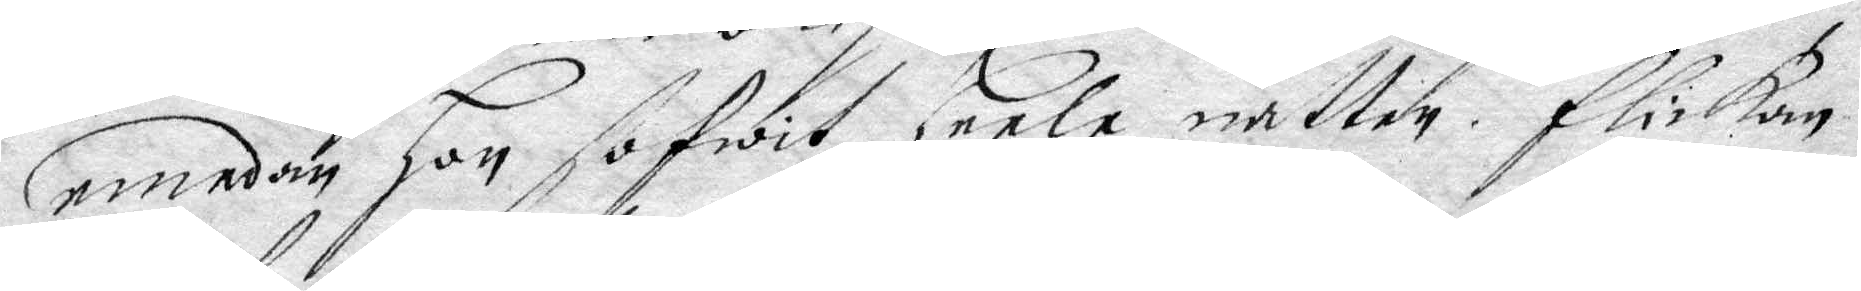emedan hon sofwit heela natten, flickan
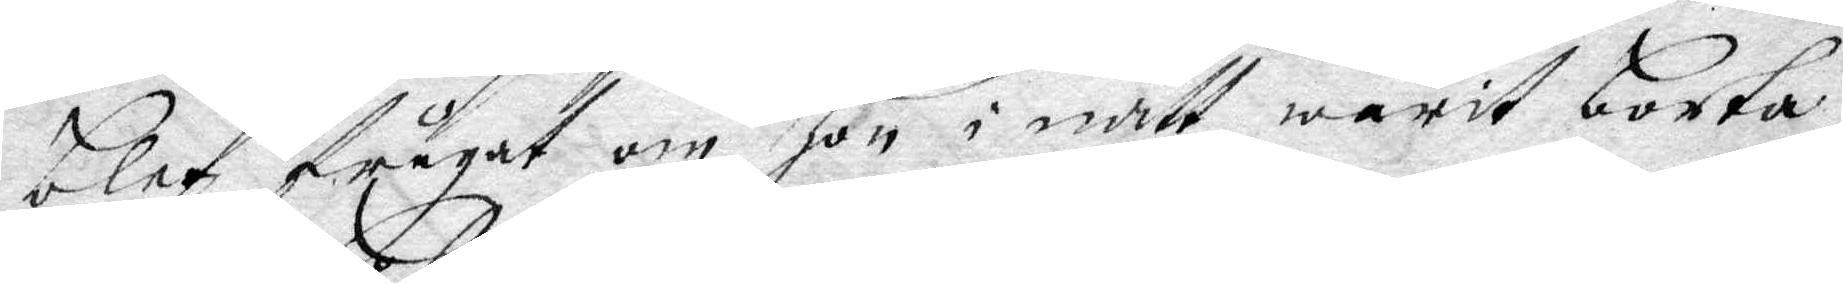blef frågat om hon i natt warit borta
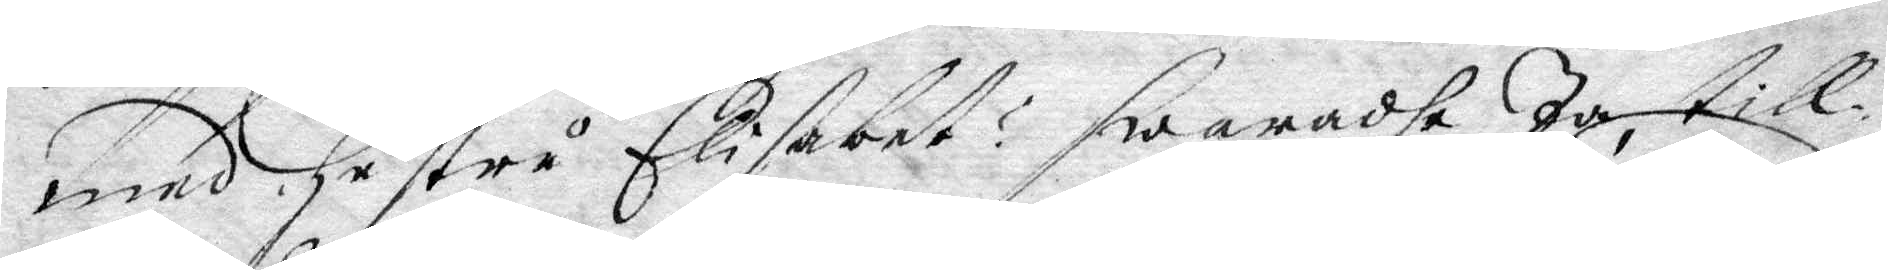med hustru Elisabet? swaradhe Ja, till¬
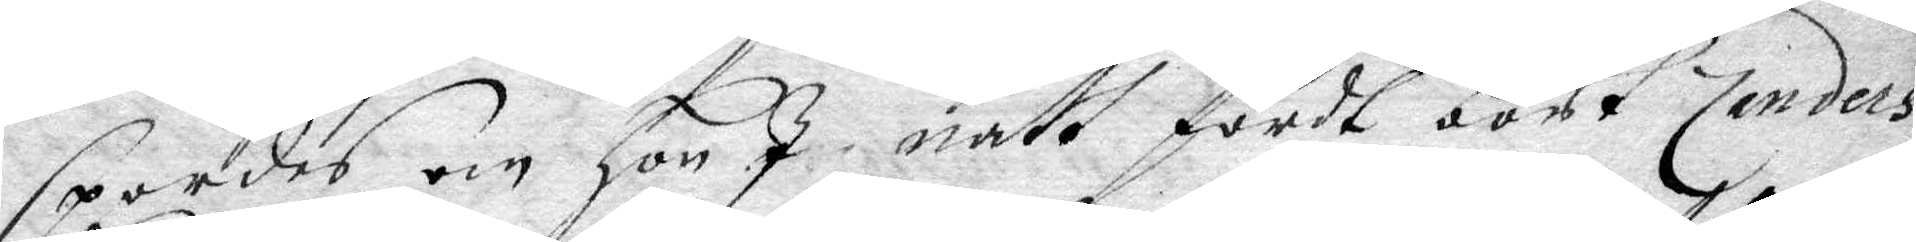spordes om hon I natt fördt bort Zanders
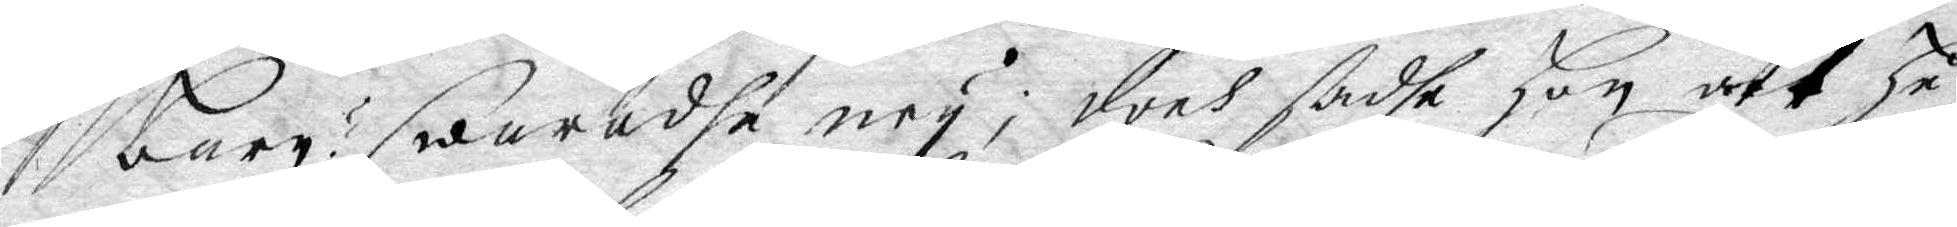barn? swaradhe ney, doch sadhe hon att hu¬
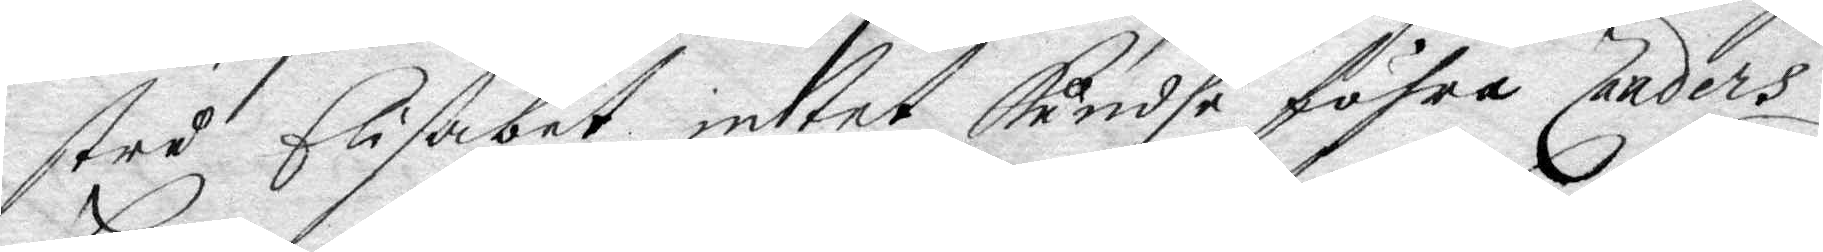stru Elisabet intet kundhe föhra Zanders
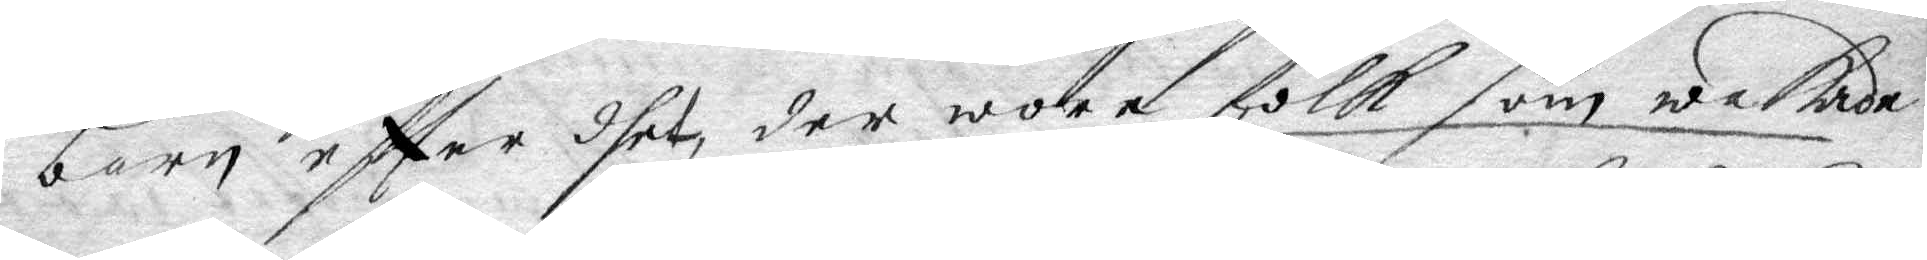barn eftter dhet der wore folk som wakade
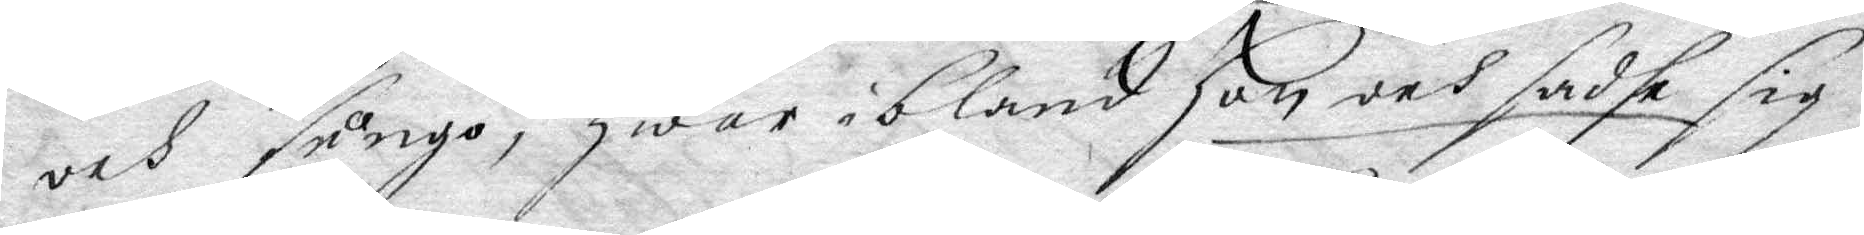och sungo, hwar ibland hon och sadhe sig
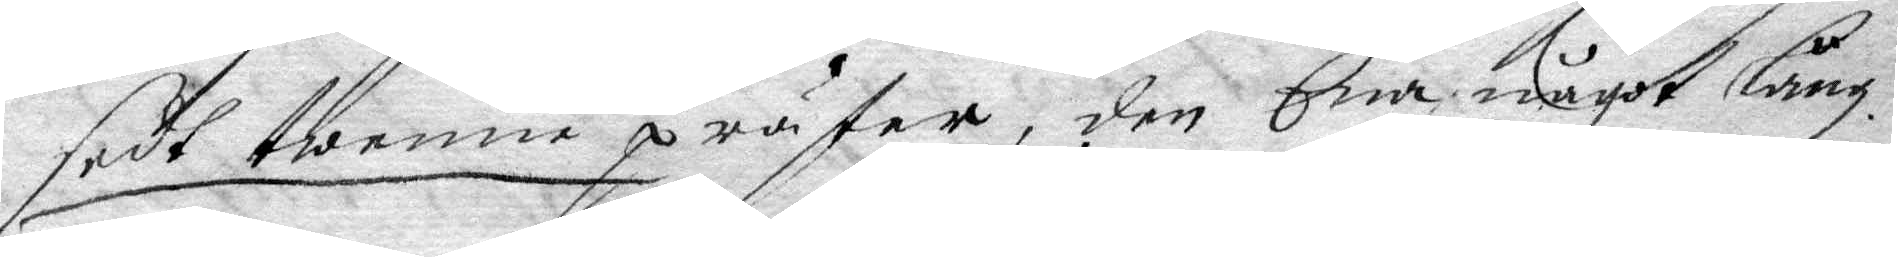sedt twenne präster, den Ena något lång
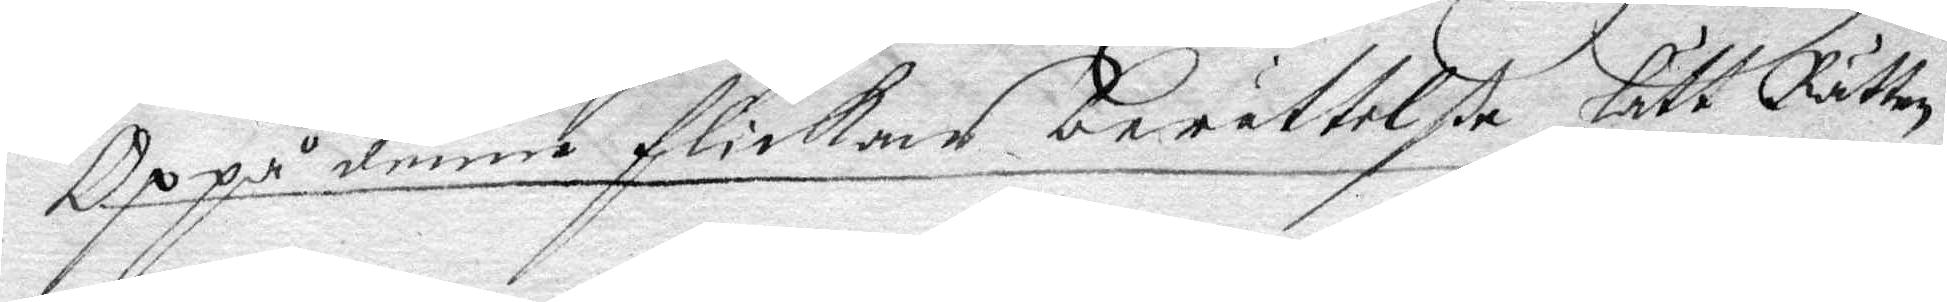Oppå denne flickas berättelße lätt Rätten
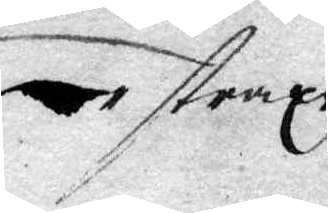straxt
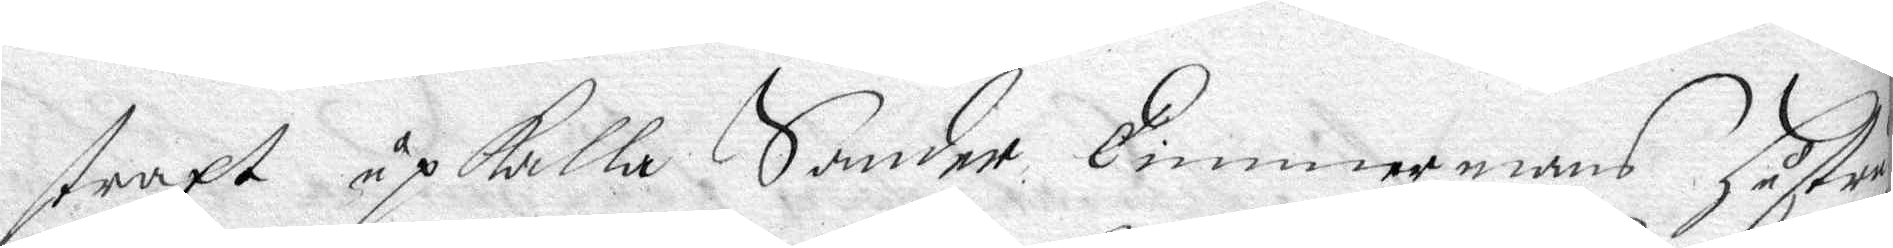straxt upkalla Sander Timmermans hustru
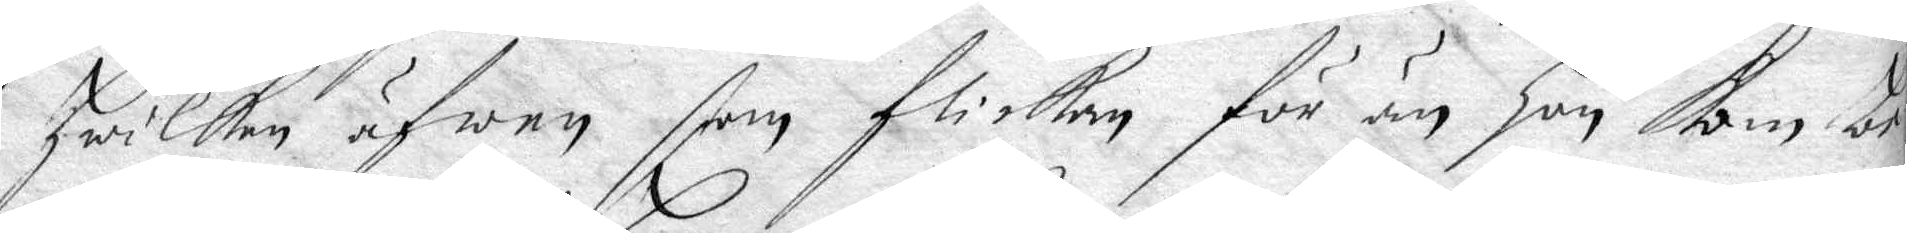hwilken äfwen som flickan för än hon kom be¬
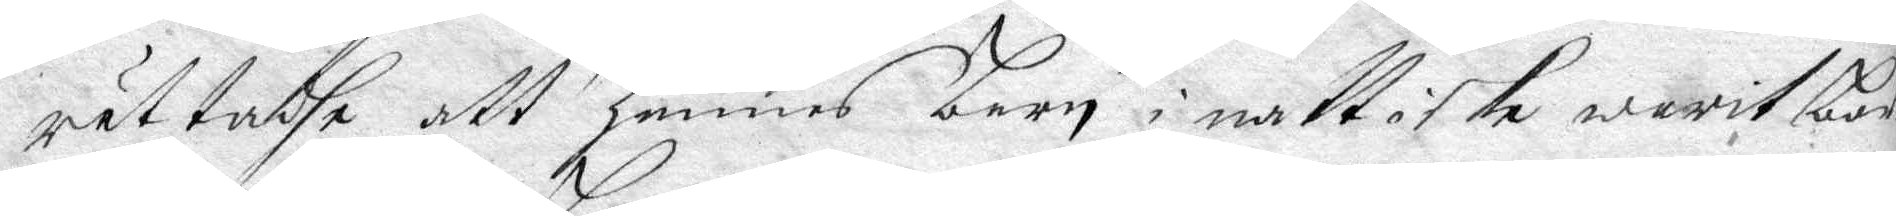rättadhe att hennes barn i natt icke warit bort
